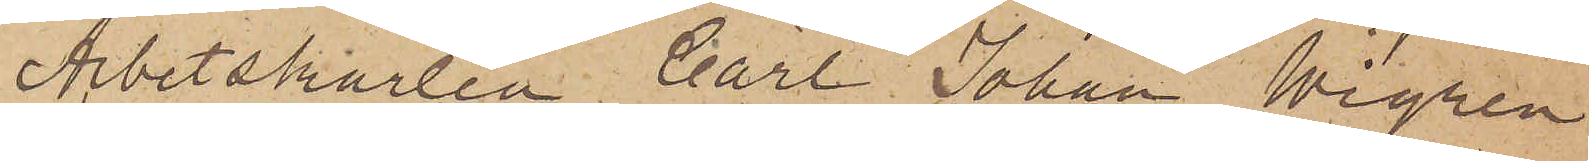Arbetskarlen Carl Johan Wigren
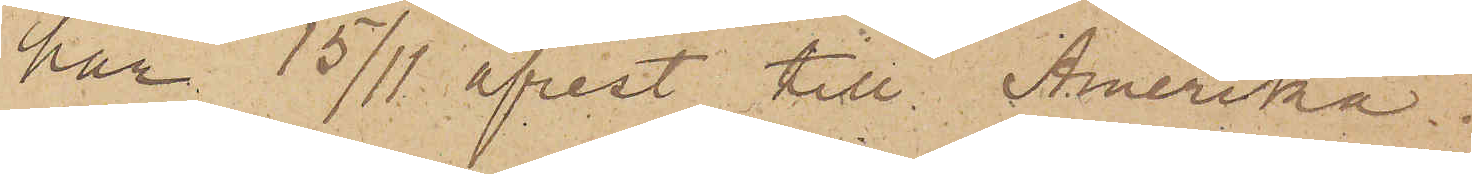har 15/11 afrest till Amerika.
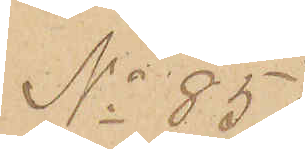No 85
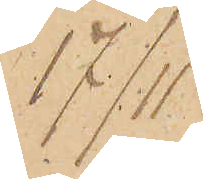17/11
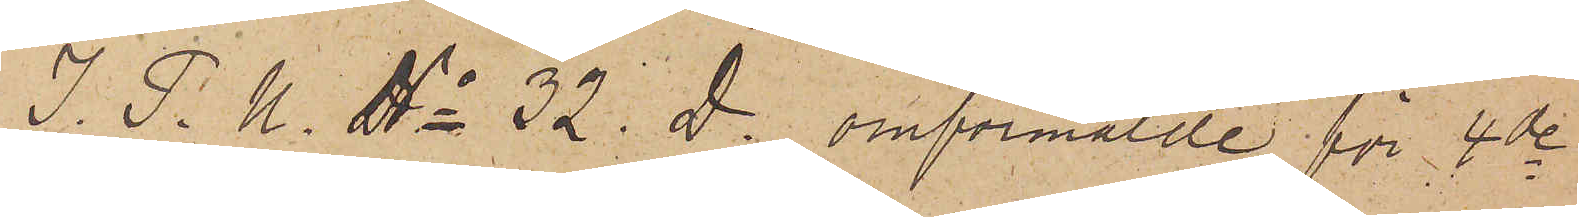J. P. U. No 32 D. omförmälde för 4de
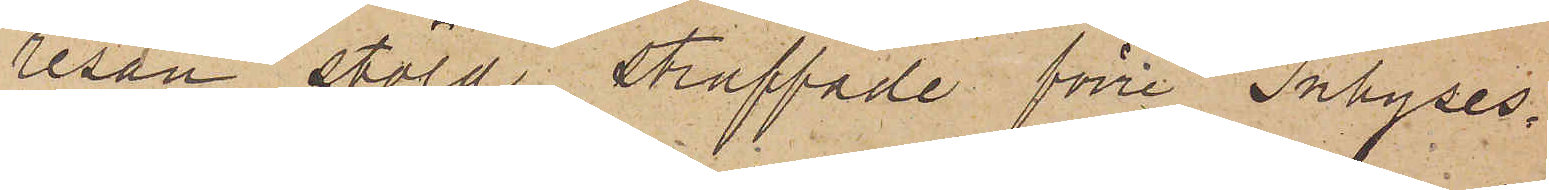resan stöld straffade förre Inhyses¬
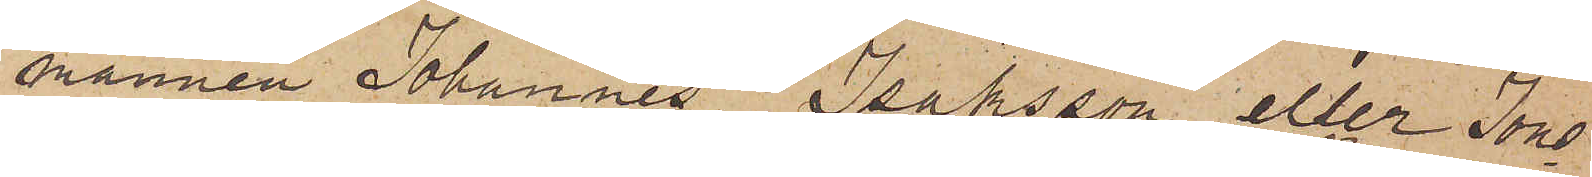mannen Johannes Isaksson eller Jons¬
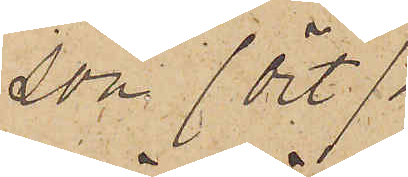son (Ört)
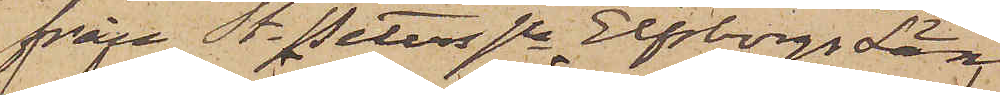från St. Peters sn Elfsborgs Län
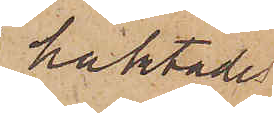häktades
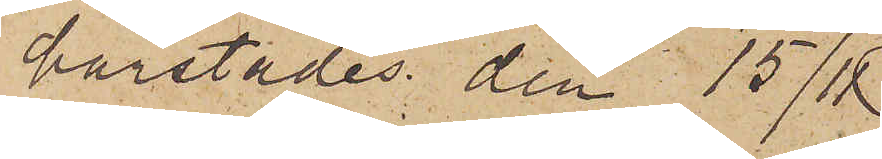härstädes den 15/11
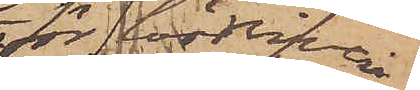för lösdrifveri.
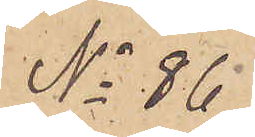No 86
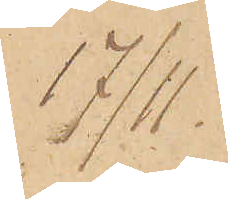17/11.
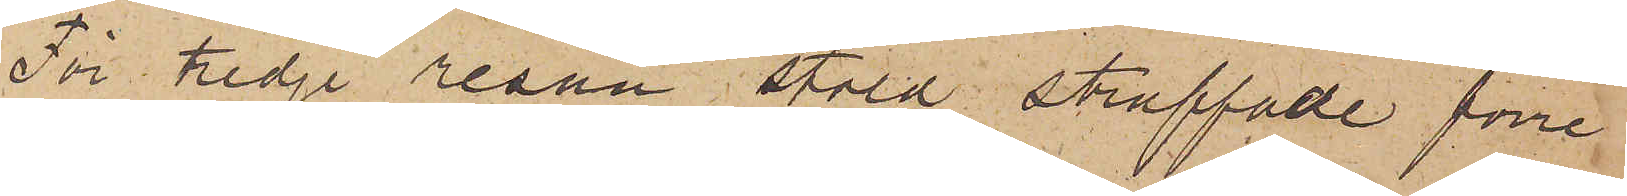För tredje resan stöld straffade förre
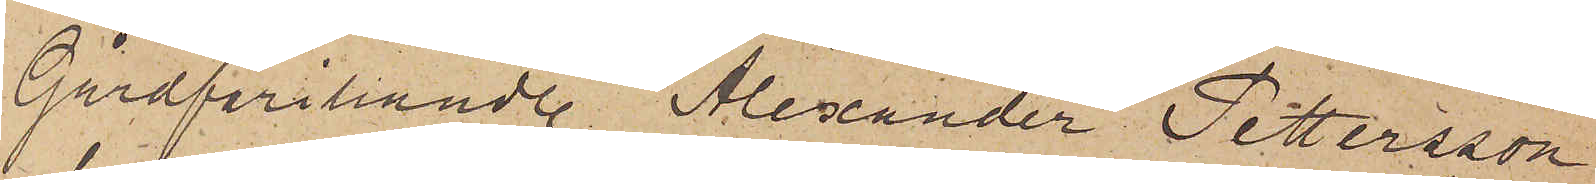Gårdfarihandl. Alexander Pettersson,
